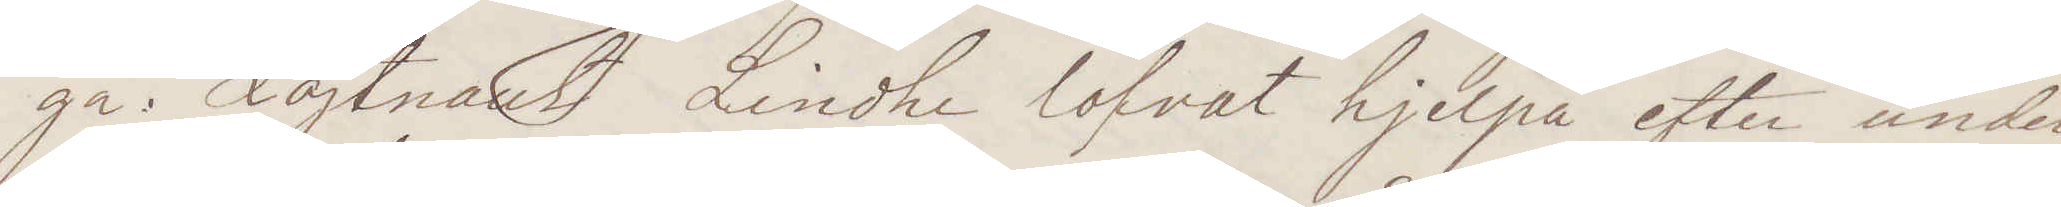ga. Löjtnant Lindhe lofvat hjelpa efter under¬
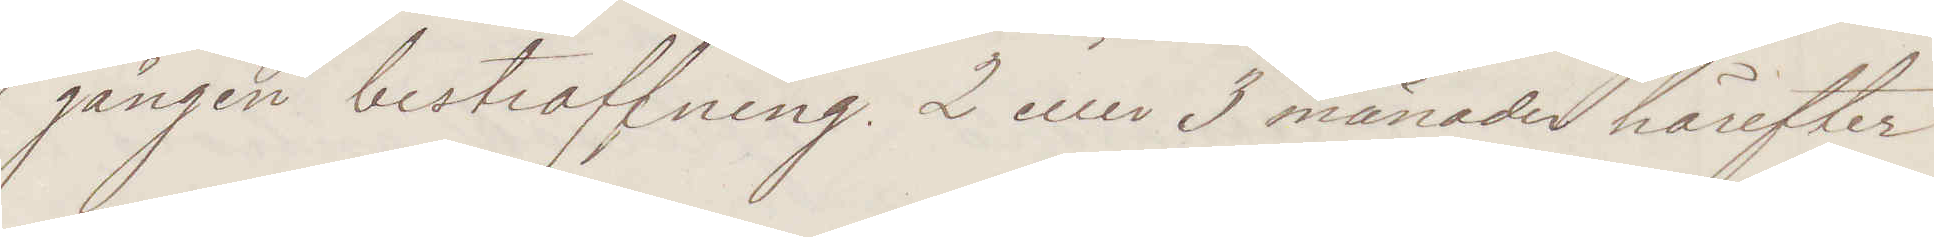gången bestraffning. 2 eller 3 månader härefter
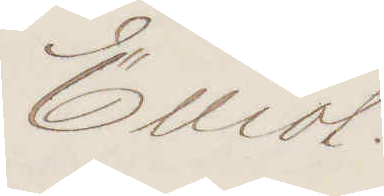Elliot.
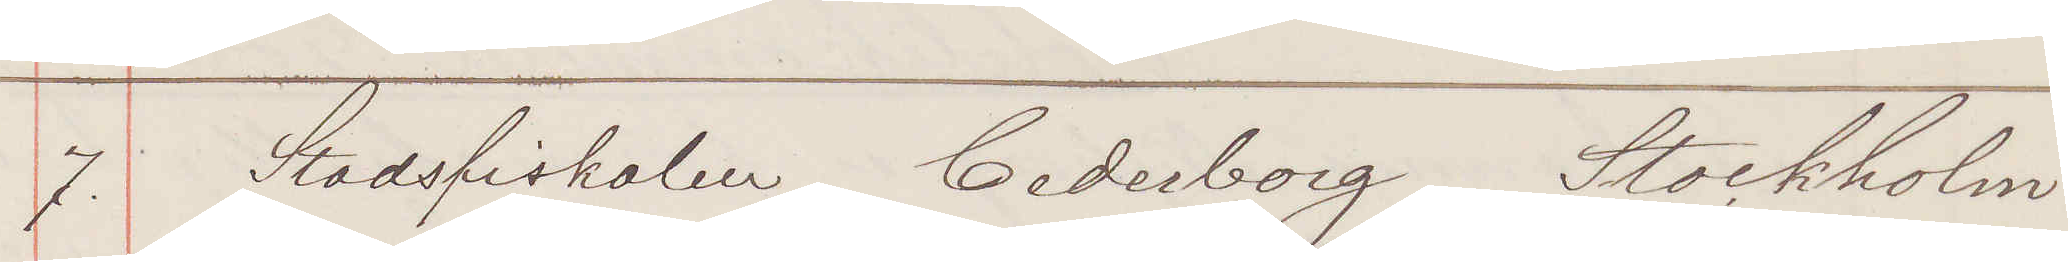7. Stadsfiskalen Cederborg Stockholm
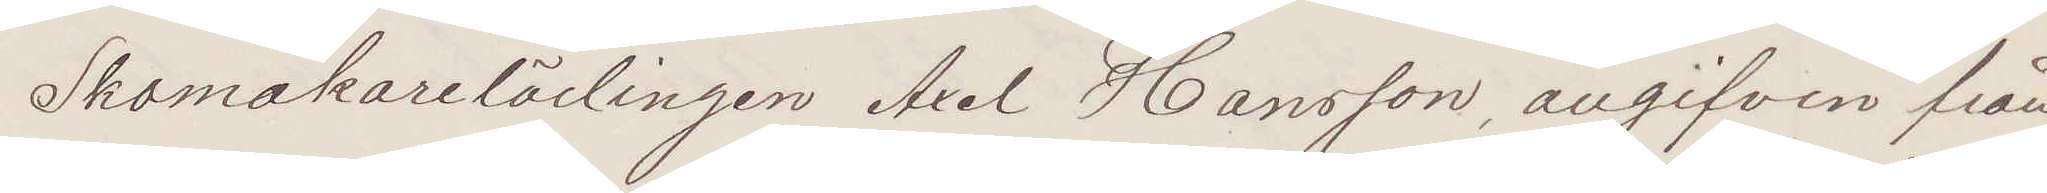Skomakarelärlingen Axel Hansson, angifven från
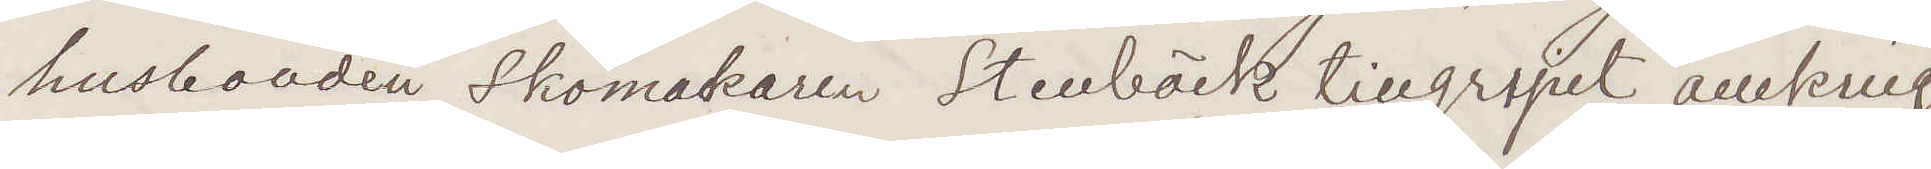husbonden Skomakaren Stenbäck tillgripit omkring
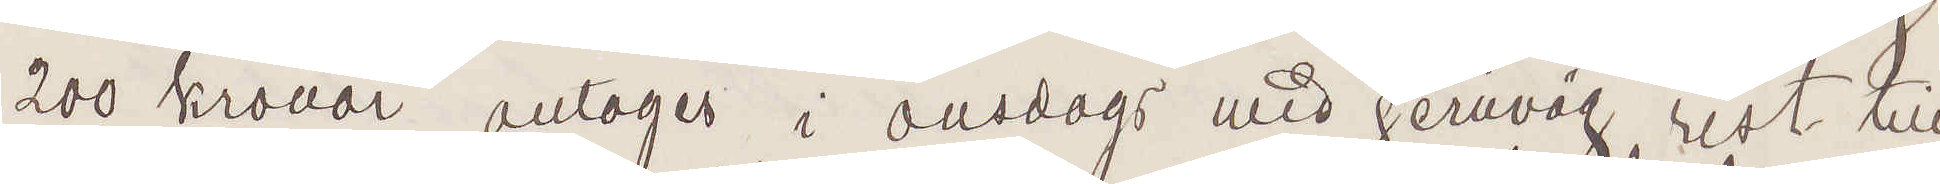200 kronor antoges i onsdgas med jernväg rest till
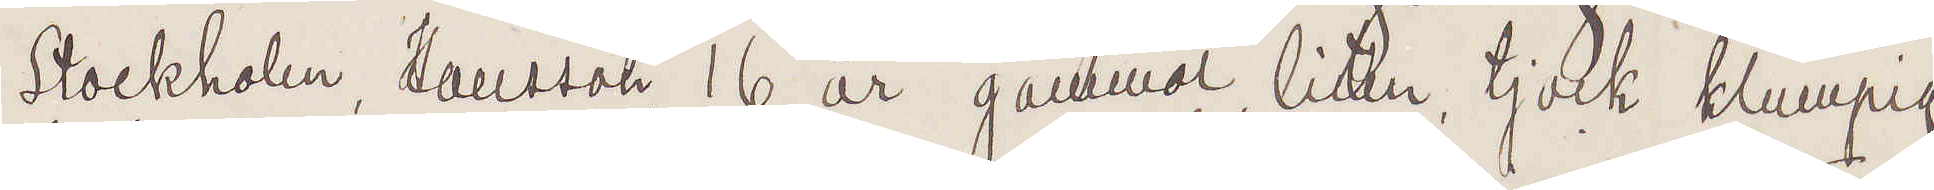Stockholm. Hansson 16 år gammal, liten, tjock klumpig
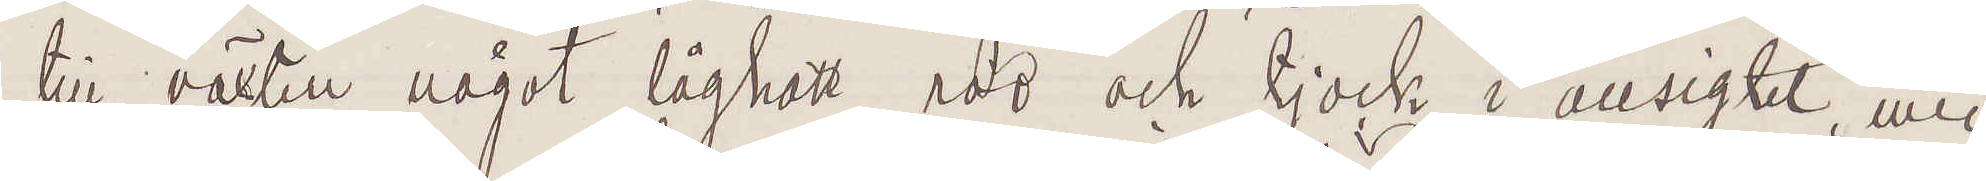till växten något låghalt röd och tjock i ansigtet med
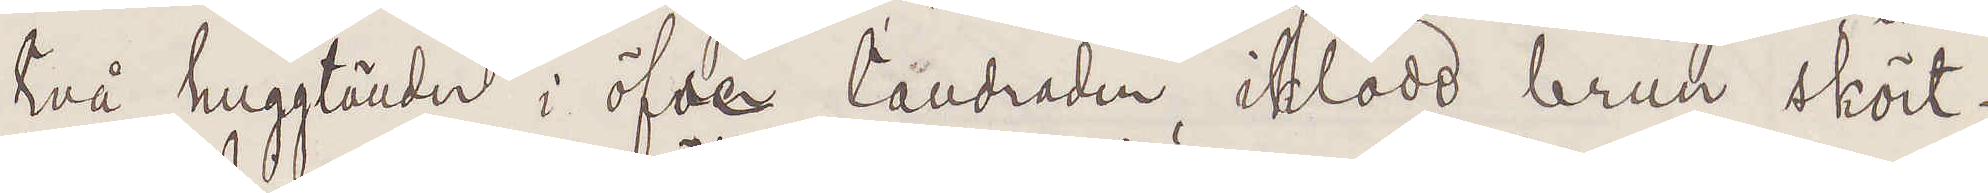två huggtänder i öfre tandraden, iklädd brun skört¬
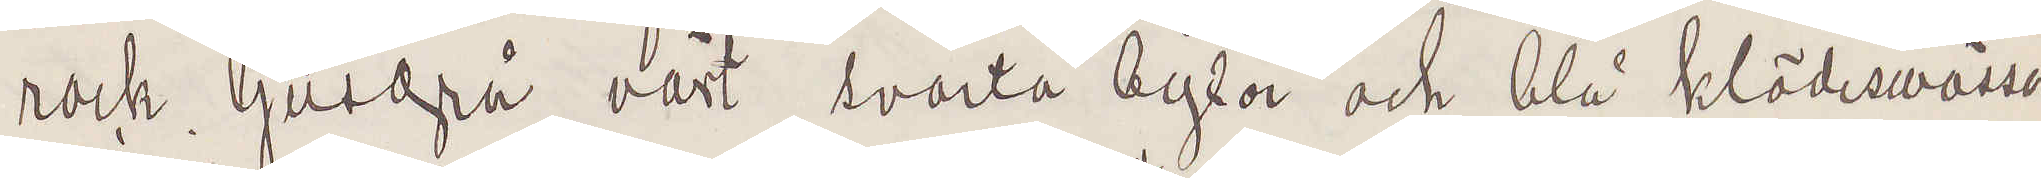rock, ljusgrå väst svarta byxor och blå klädmössa
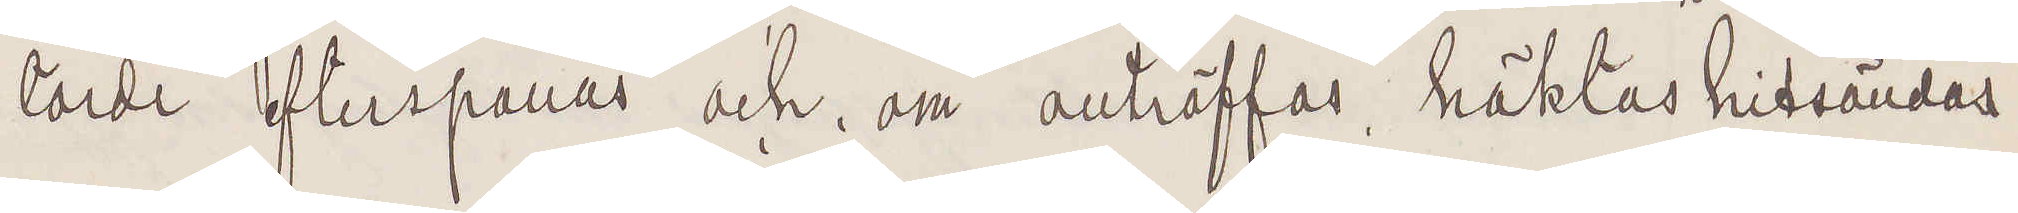torde efterspanas och om anträffas häktas hitsändas
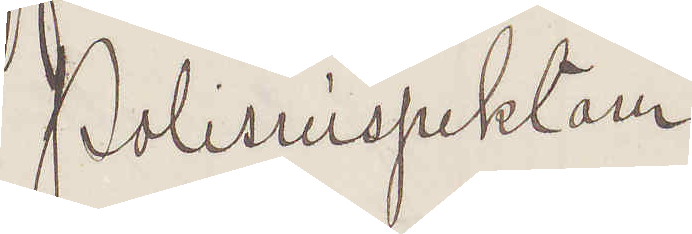Polisinspektorn
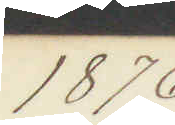1876
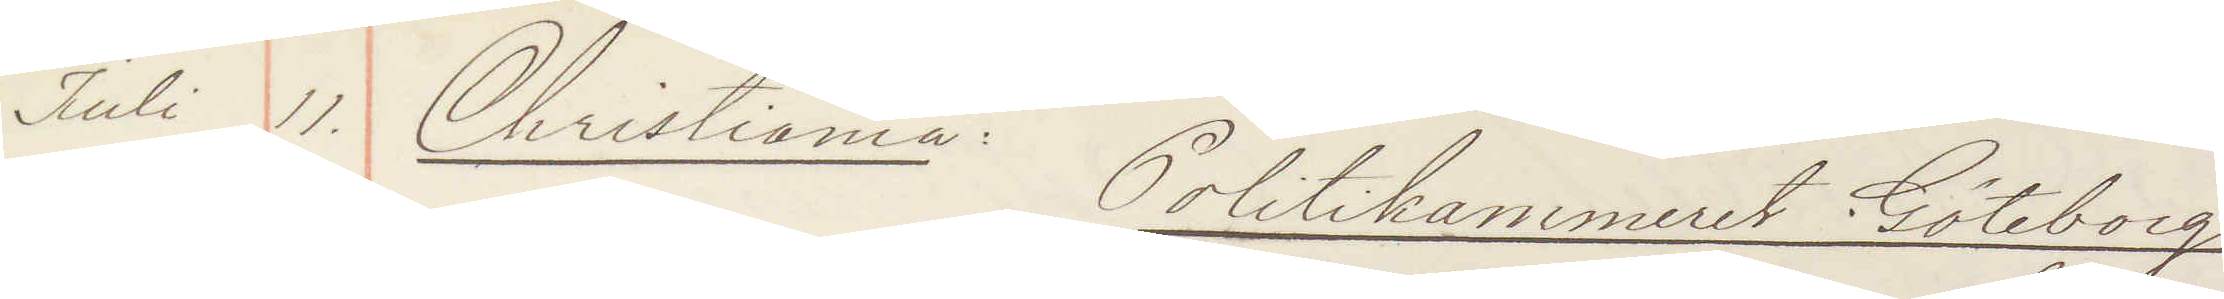Juli 11. Christiania Politikammeret Göteborg
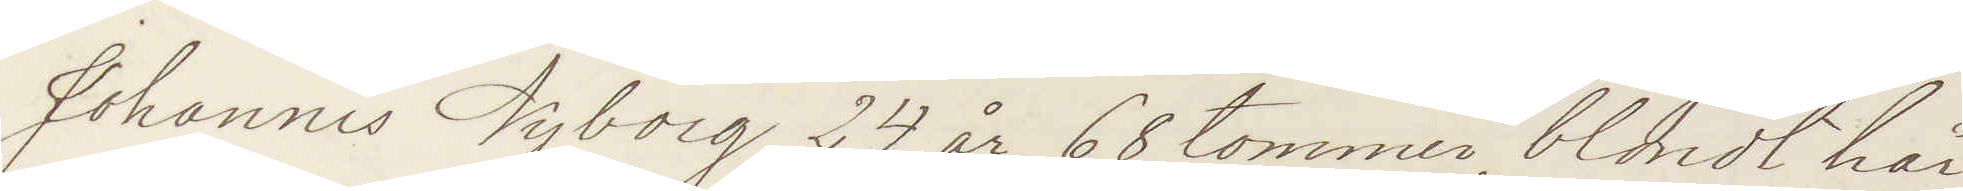Johannis Nyborg, 24 år, 68 tommer, blondt hår
